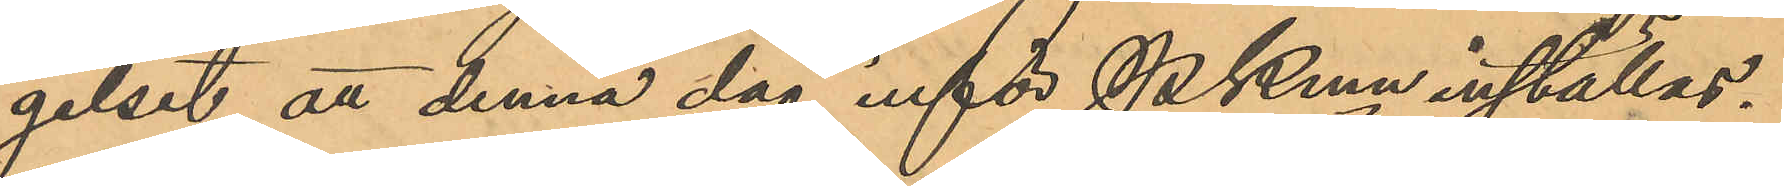gelset, att denna dag inför PKmn inställas.
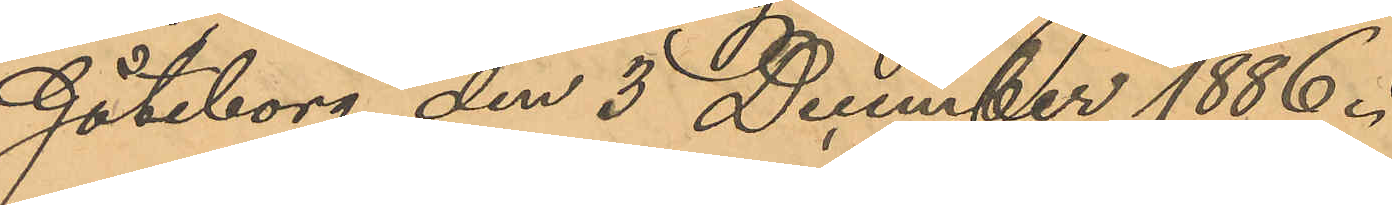Göteborg den 3 December 1886.
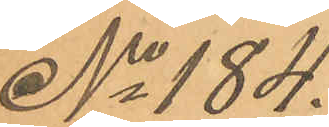No 184.
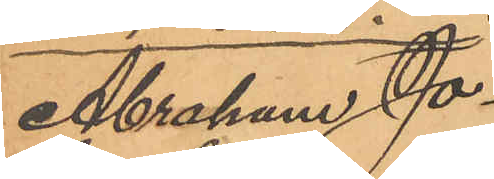Abraham Jo¬
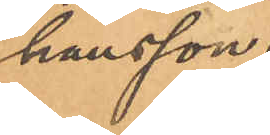hansson.
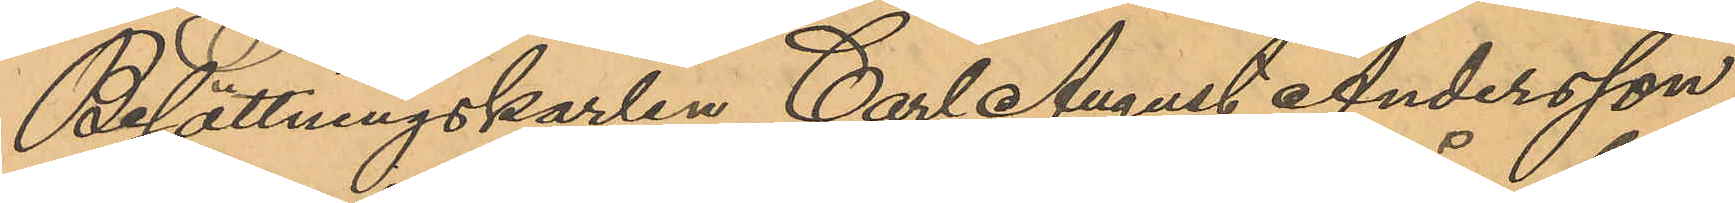Besättningskarlen Carl August Andersson,
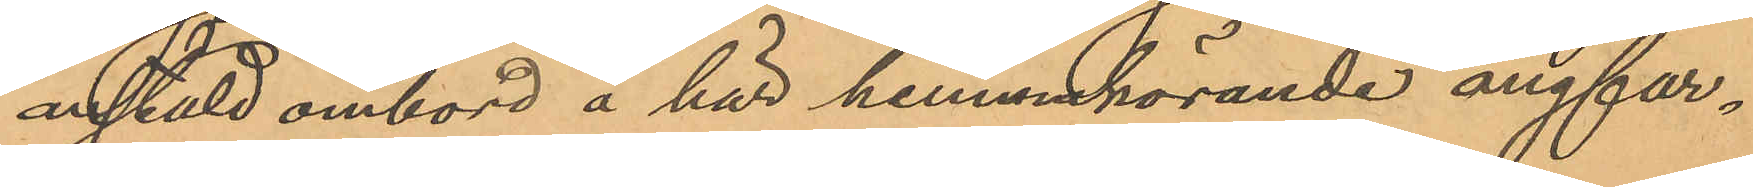anstäld ombord å här hemmahörande ångfar¬
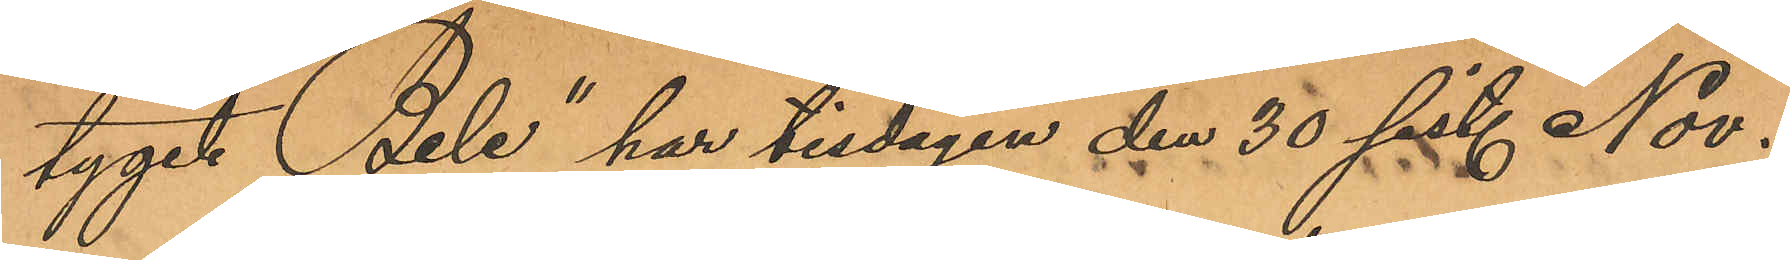tyget "Bele" har tisdagen den 30 sist. Nov.
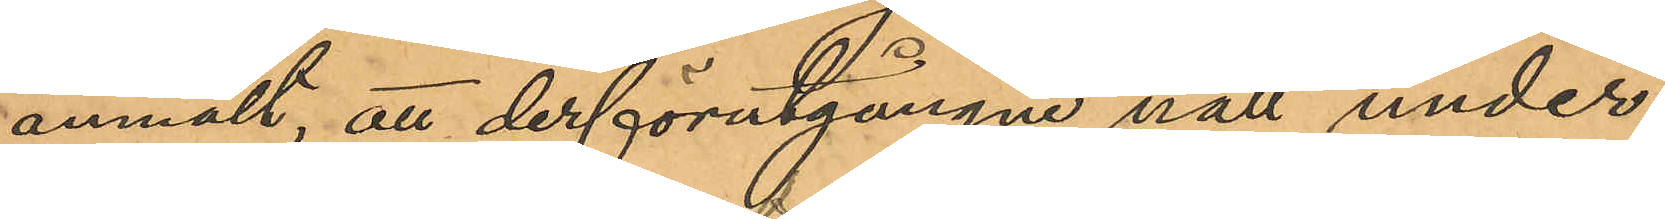anmält, att derförutgångne natt under
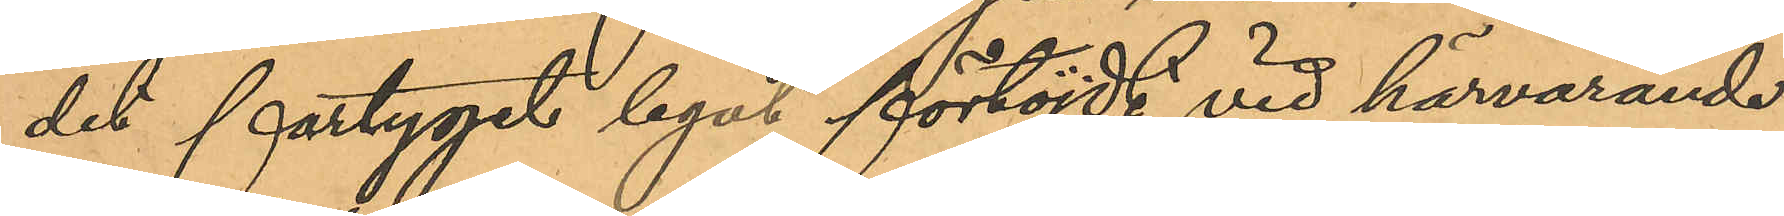det fartyget legat förtöjdt vid härvarande
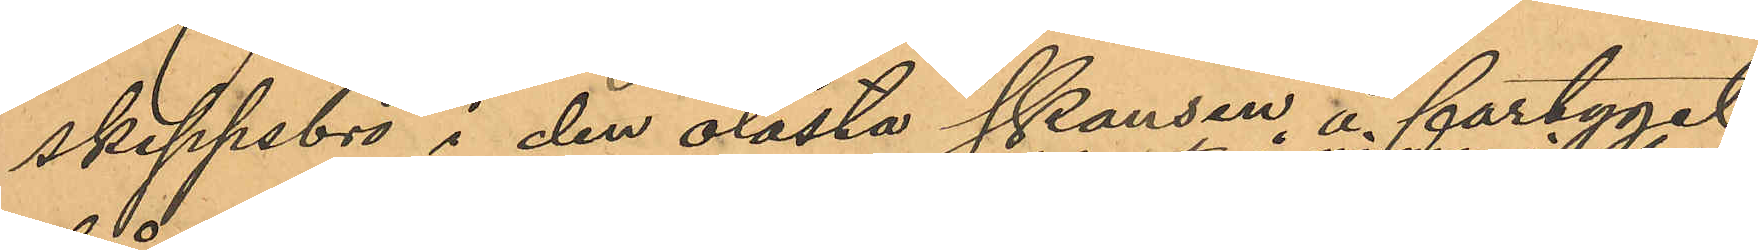skeppsbro i den olåsta skansen å fartyget
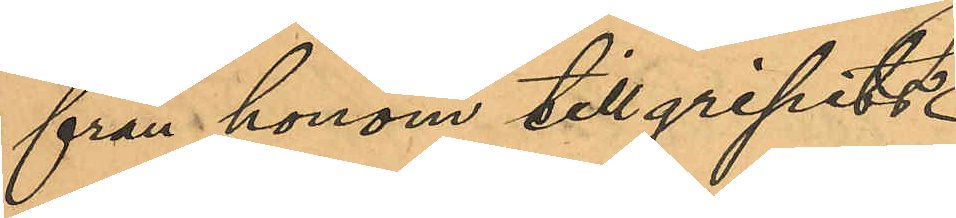från honom tillgripits
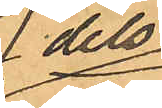dels
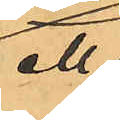ett
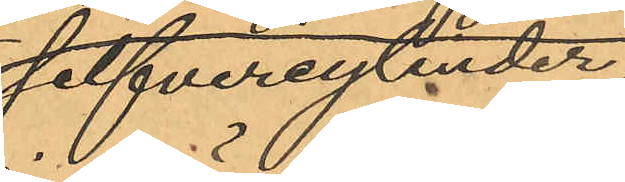silfvercylinder¬
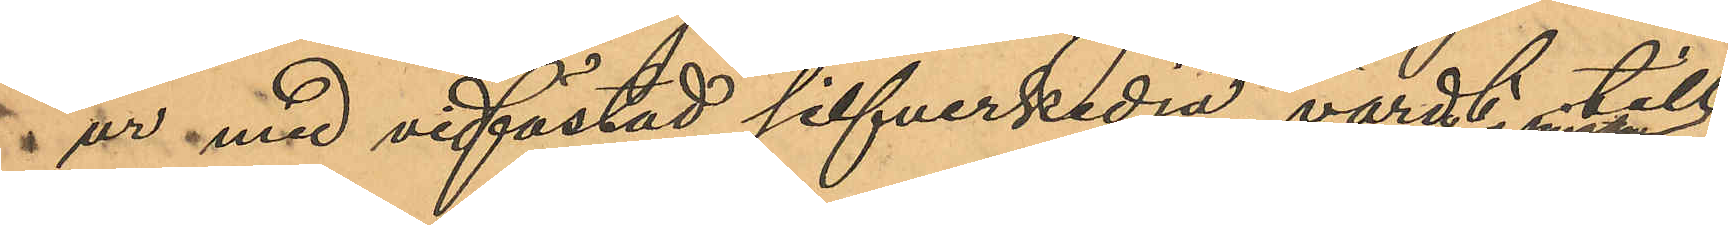 ur med vidfästad silfverkedja, värdt till¬
